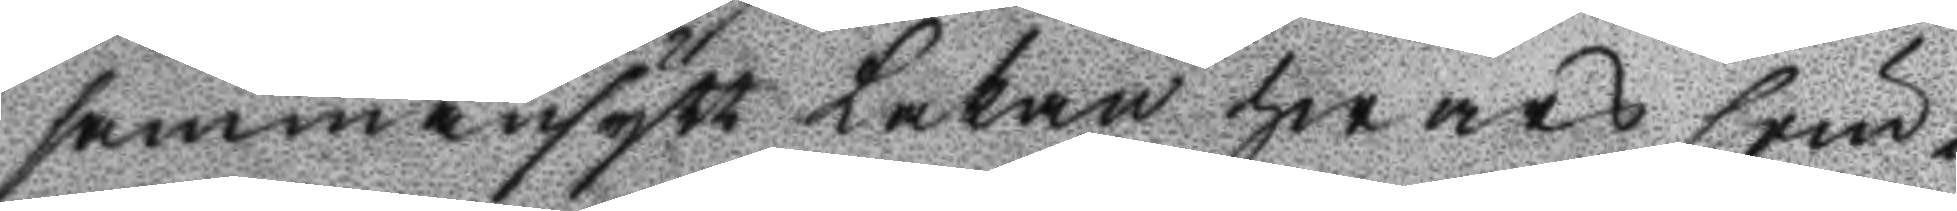sammansytt Lakan hwars söm¬
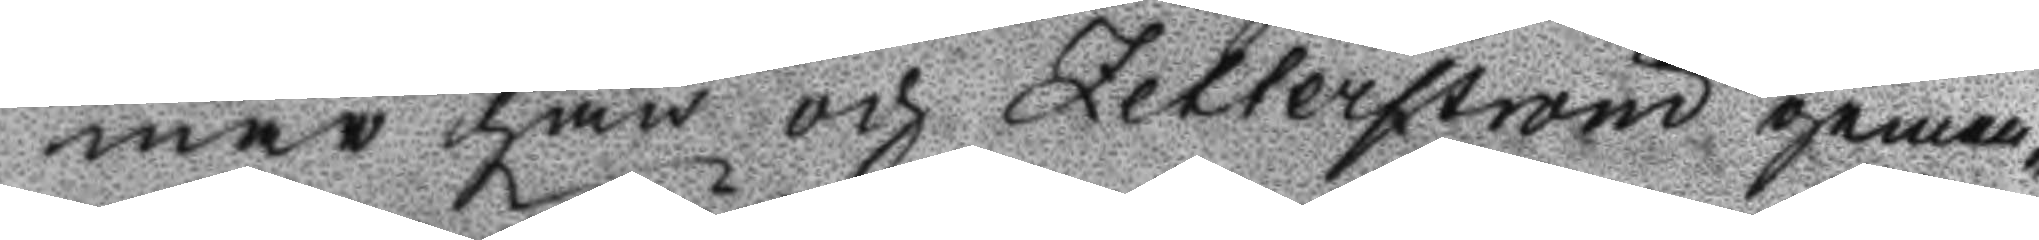mar här och Zetterström gemen¬
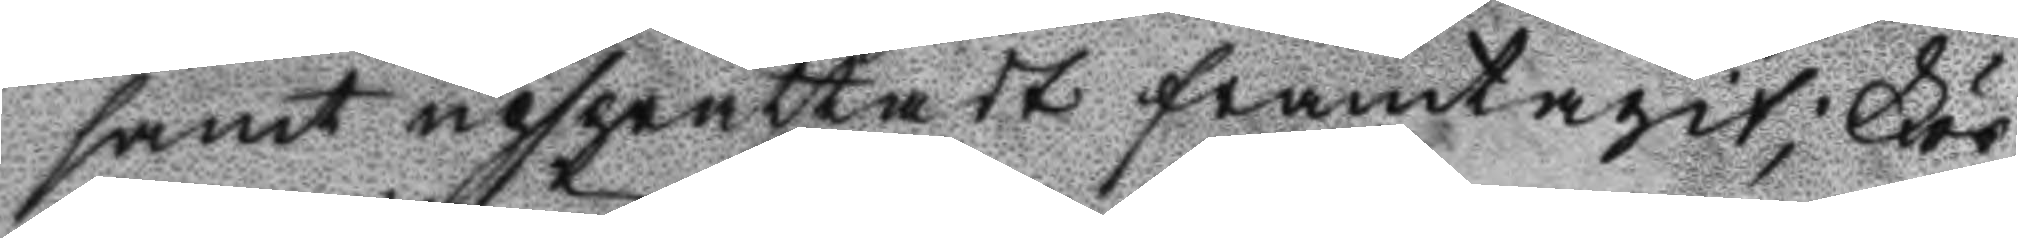samt upsprättadt framtagit; För¬
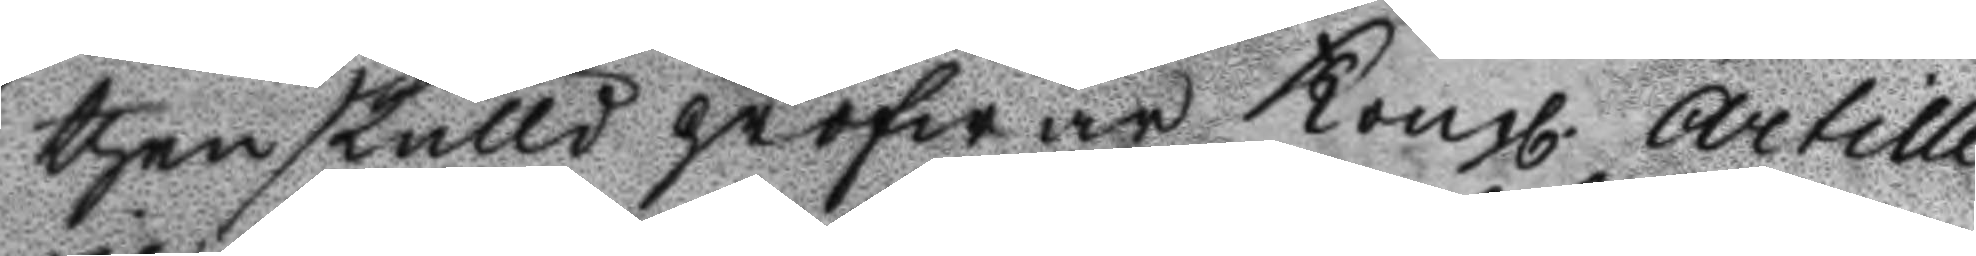thenskulld pröfwar Kongl. Artille¬
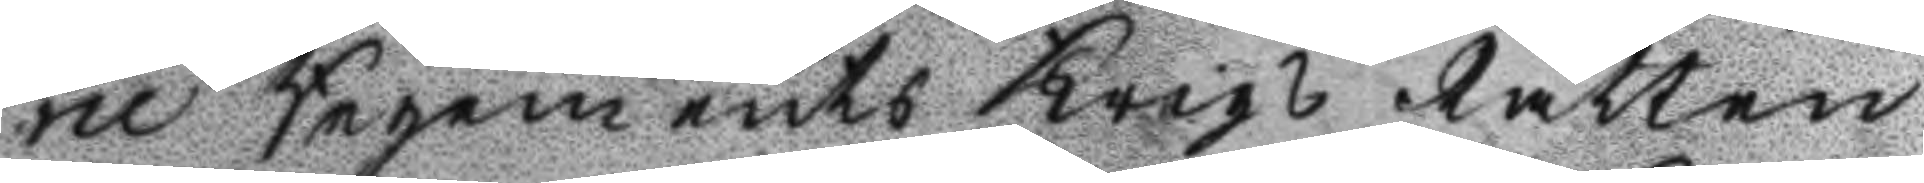rie Regements Krigs Rätten
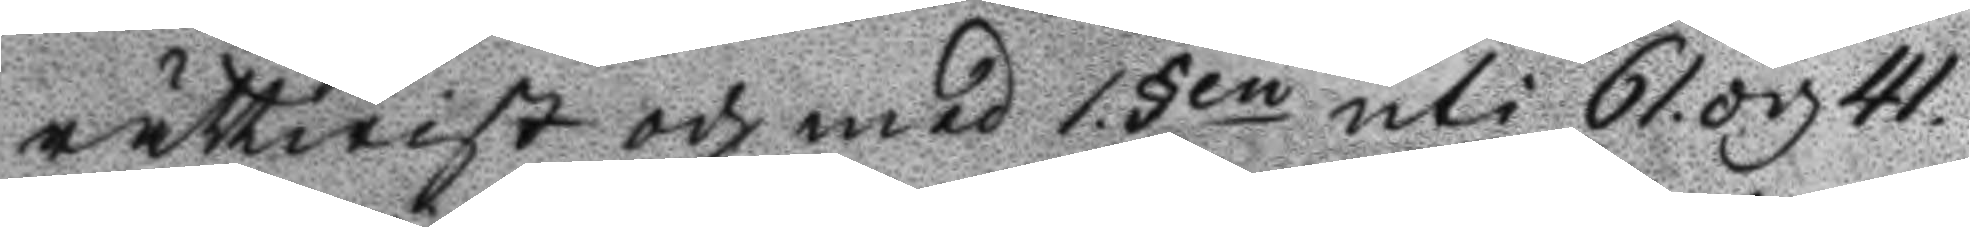rättwist och med 1 §en uti 61. och 41.
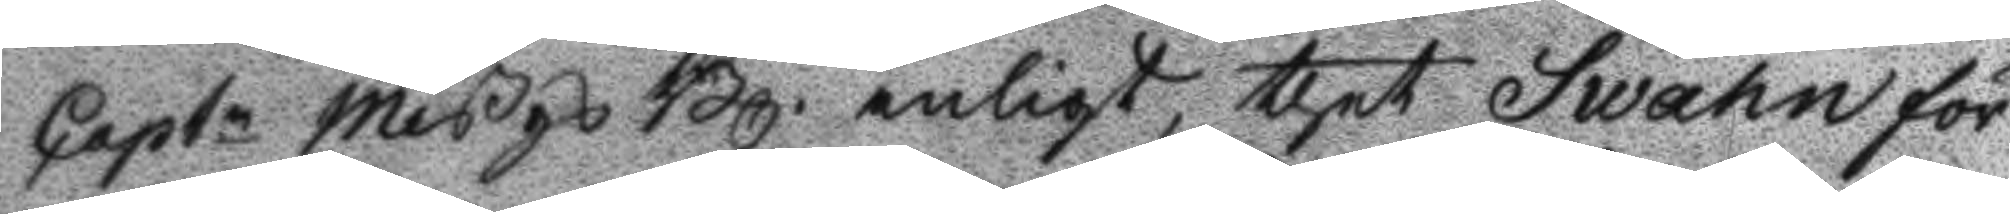Captn MißgsBl. enligt, thet Swahn för
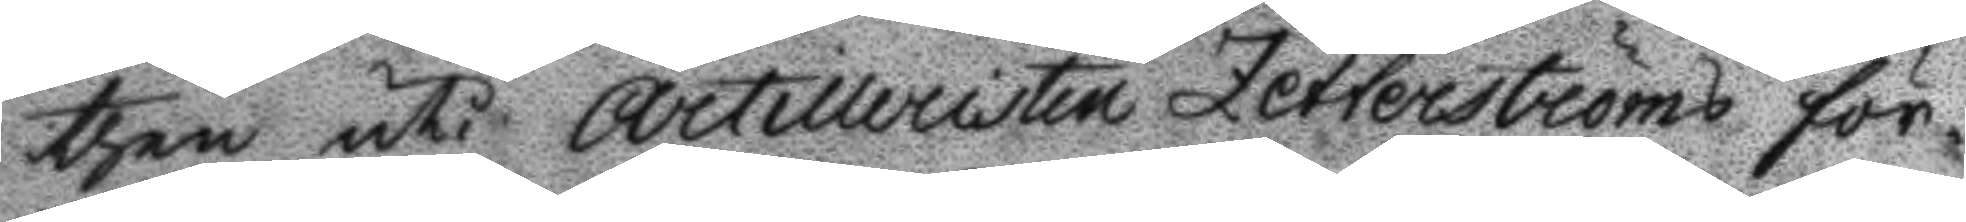then uti Artilleristen Zetterströms för¬
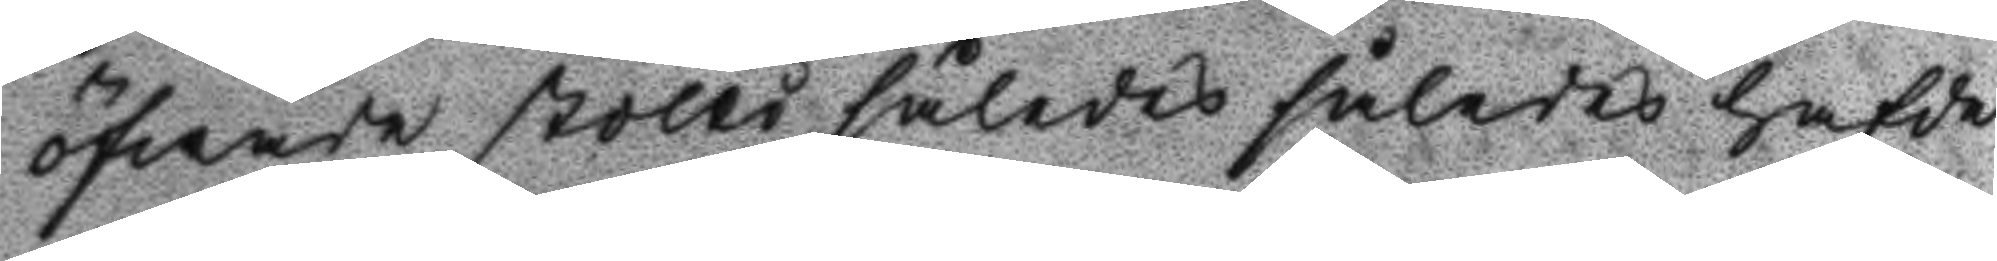öfwade stölld således hafde
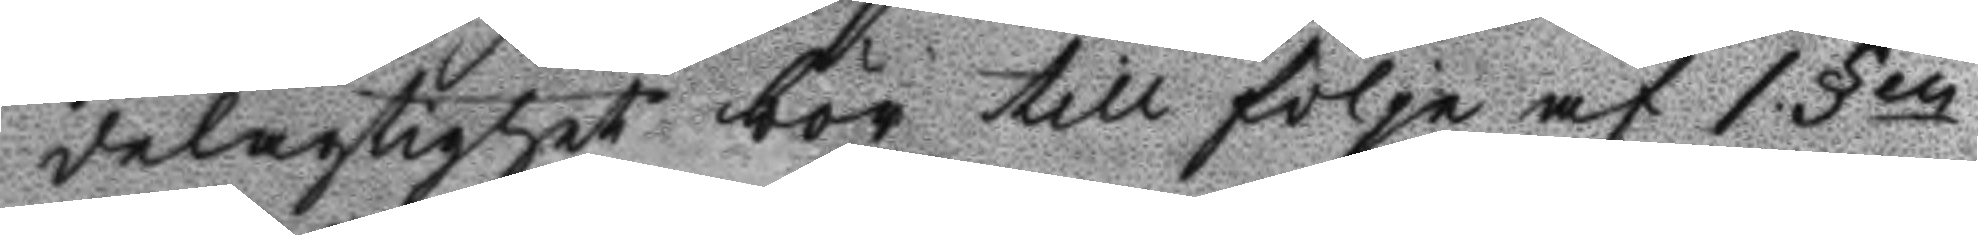delagtighet bör till följe af 1 §en
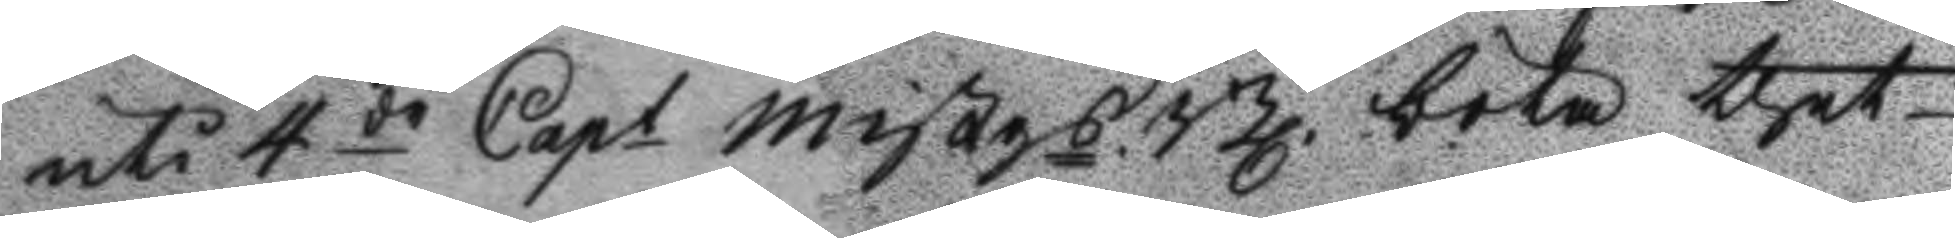uti 4de Capt MißgsBl. böta thet
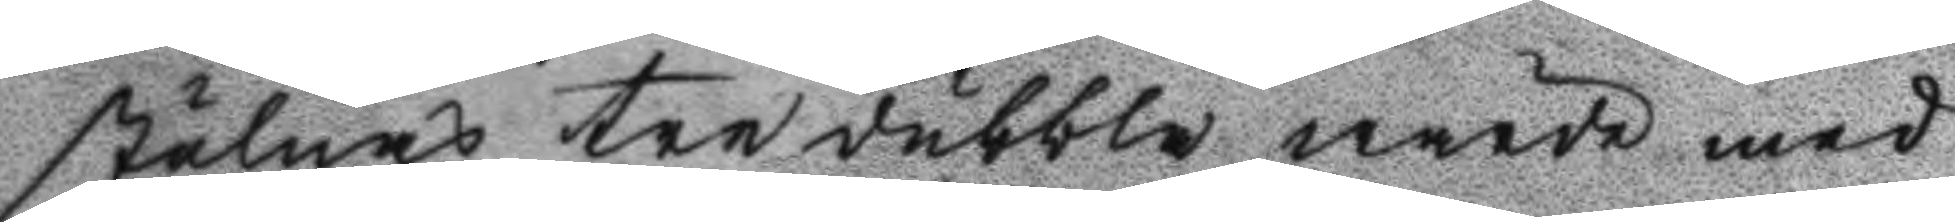stulas tredubbla wärde med
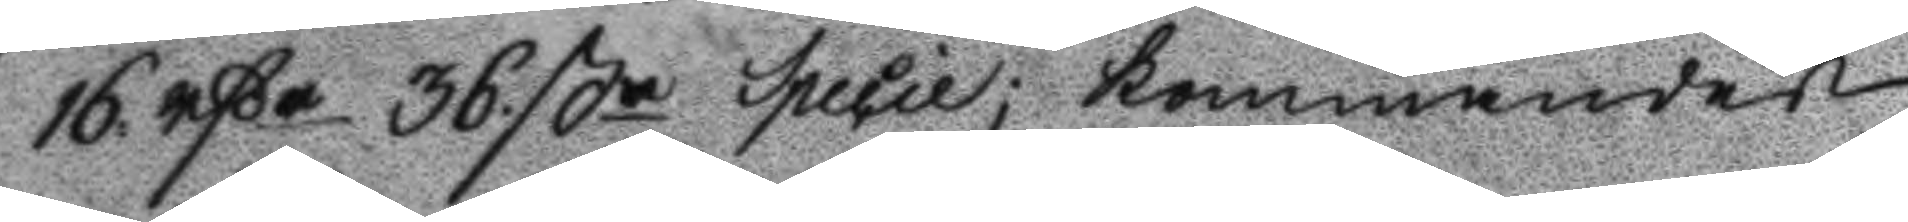16 rßr 36 ßr Specie; kommandes
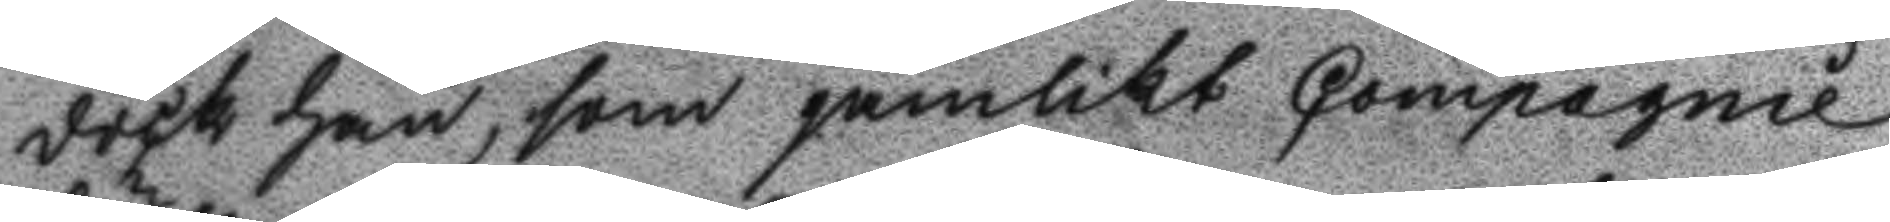dock han, som jämlikt Compagnie
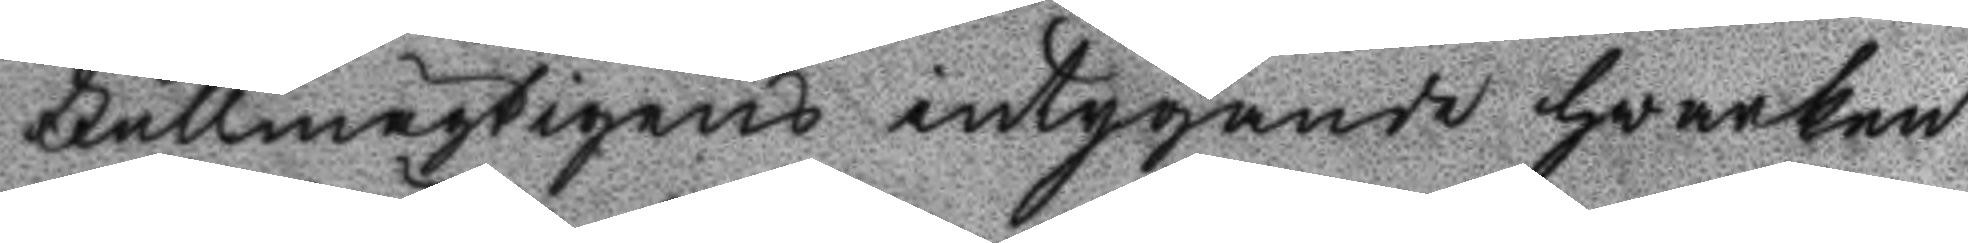Fullmägtigens intygande hwarken
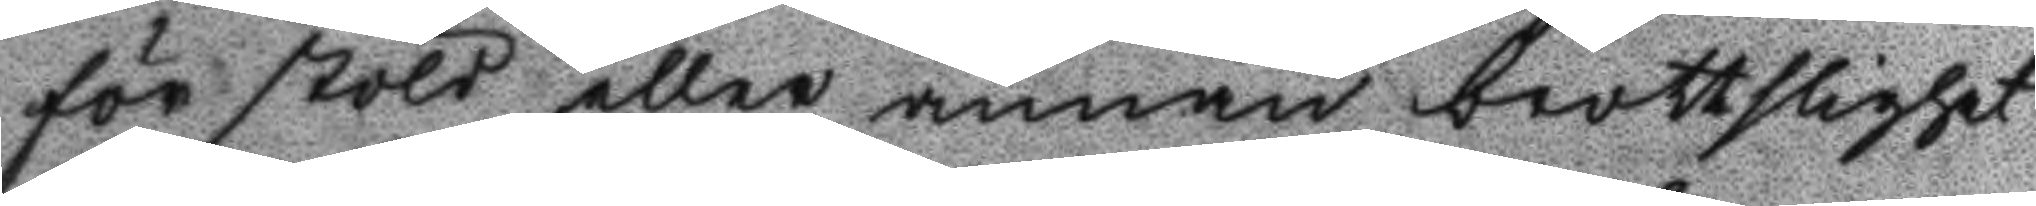för stöld eller annan brottslighet
